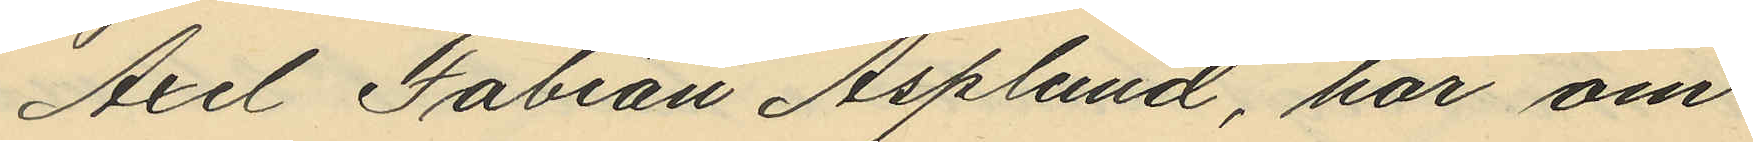Axel Fabian Asplund, har om
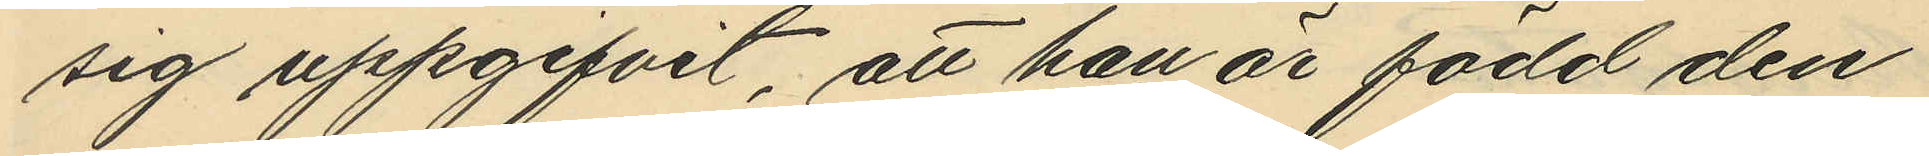sig uppgifvit, att han är född den
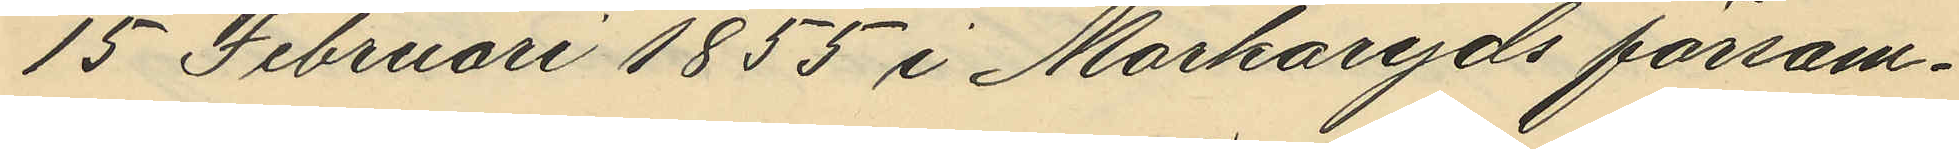15 Februari 1855 i Markaryds försam¬
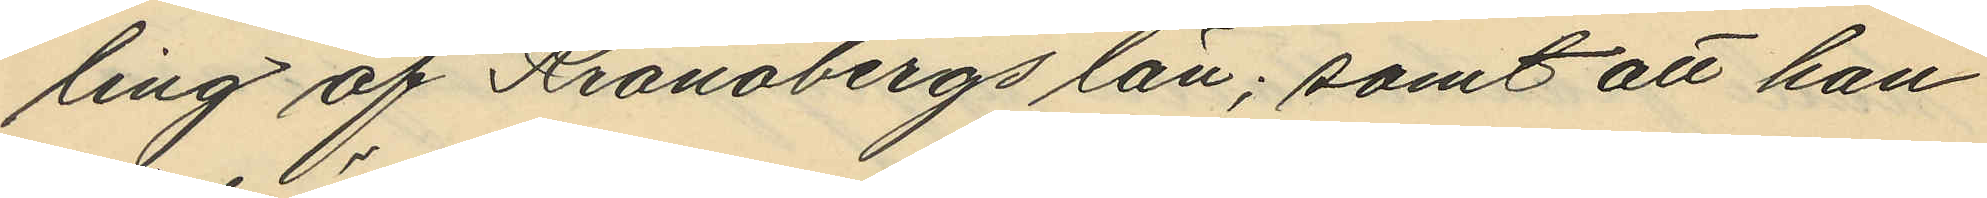ling af Kronobergs län; samt att han
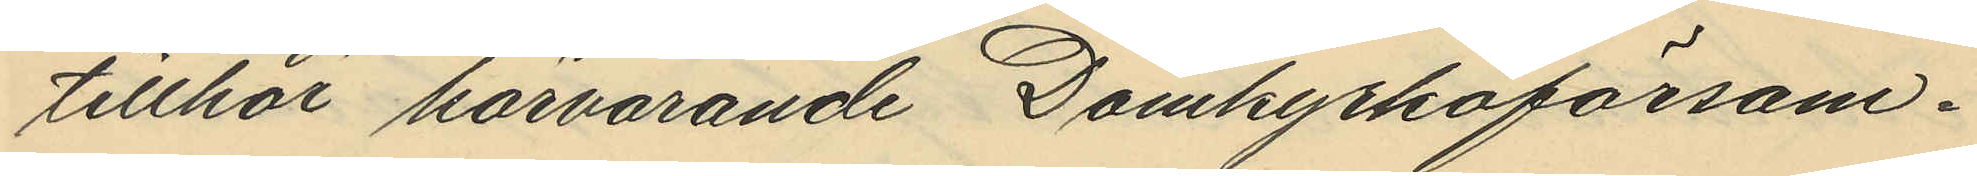tillhör härvarande Domkyrkoförsam¬
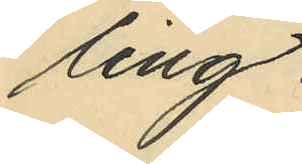ling.
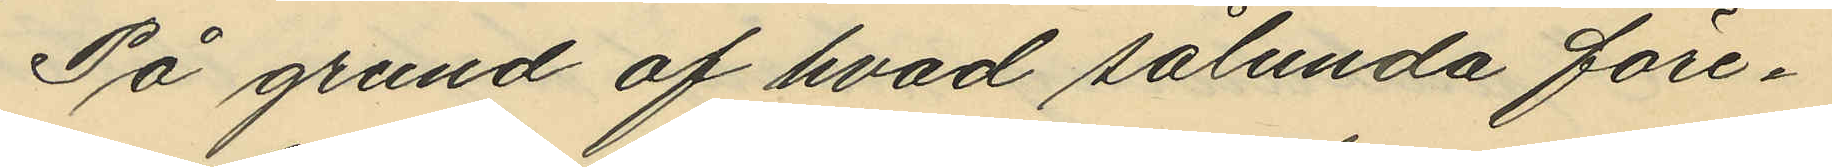På grund af hvad sålunda före¬
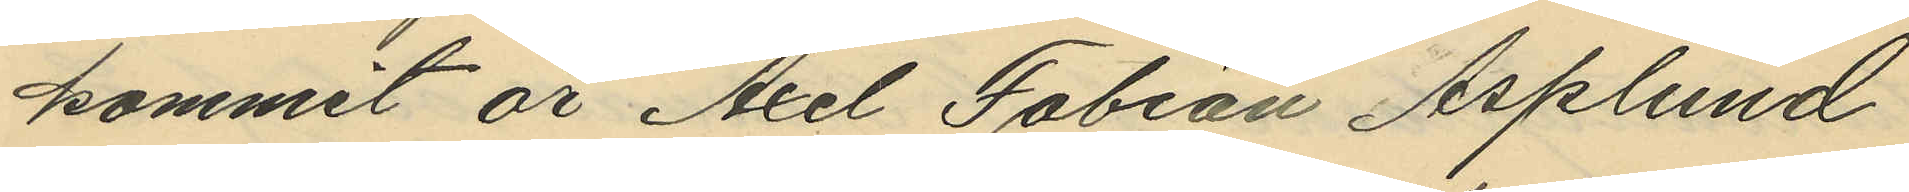kommit är Axel Fabian Asplund
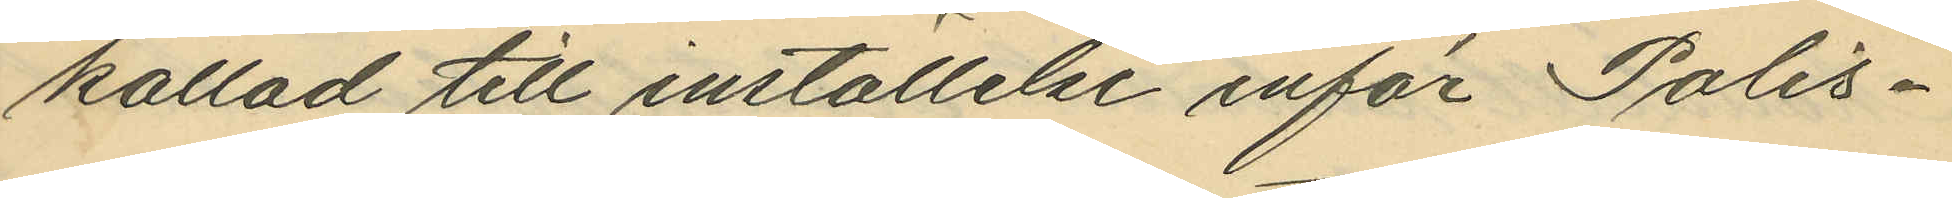kallad till inställelse inför Polis¬
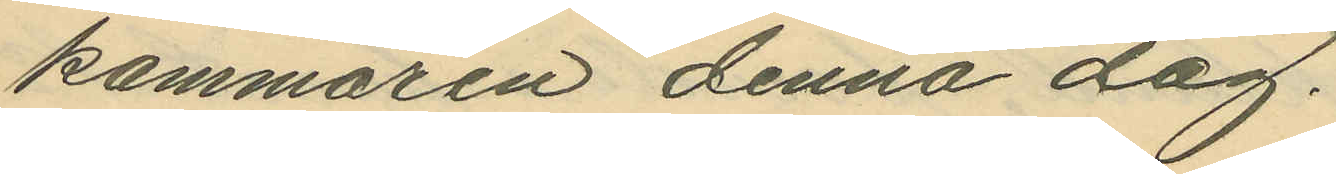kammaren denna dag.
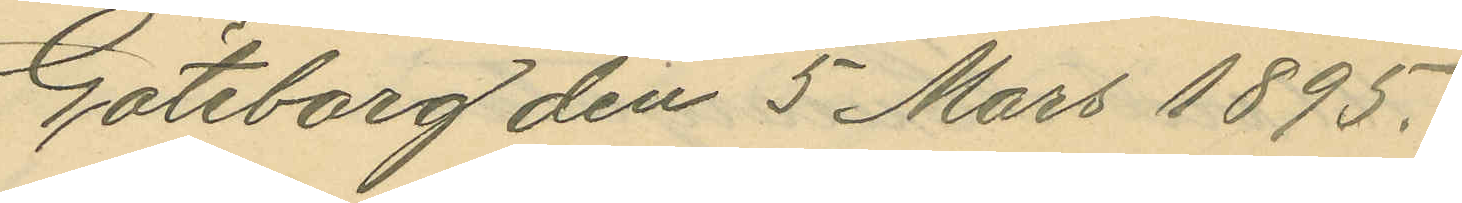Göteborg den 5 Mars 1895.
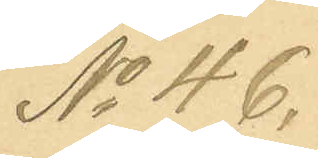No 46.
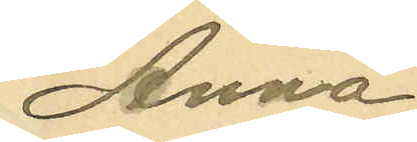Anna
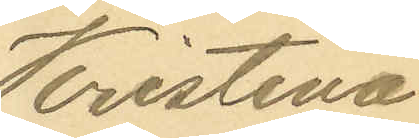Kristina
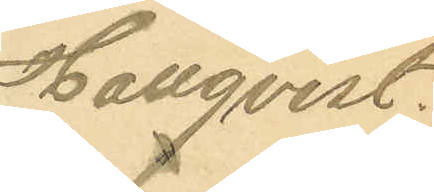Hallqvist.
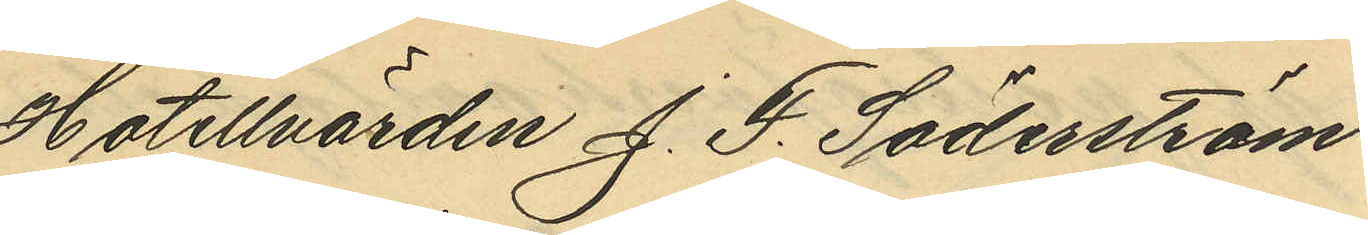Hotellvärden J. F. Söderström
